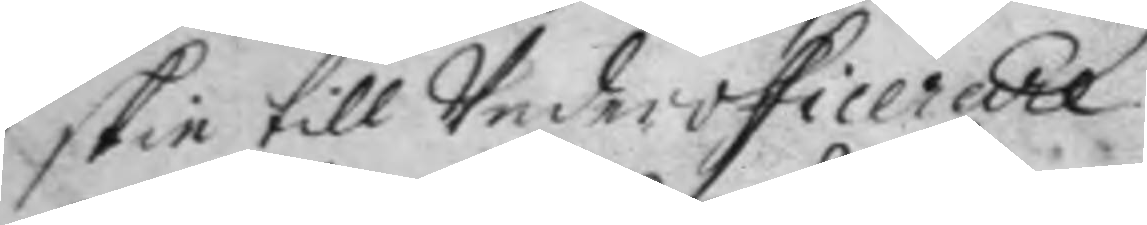skie till Underofficerare.
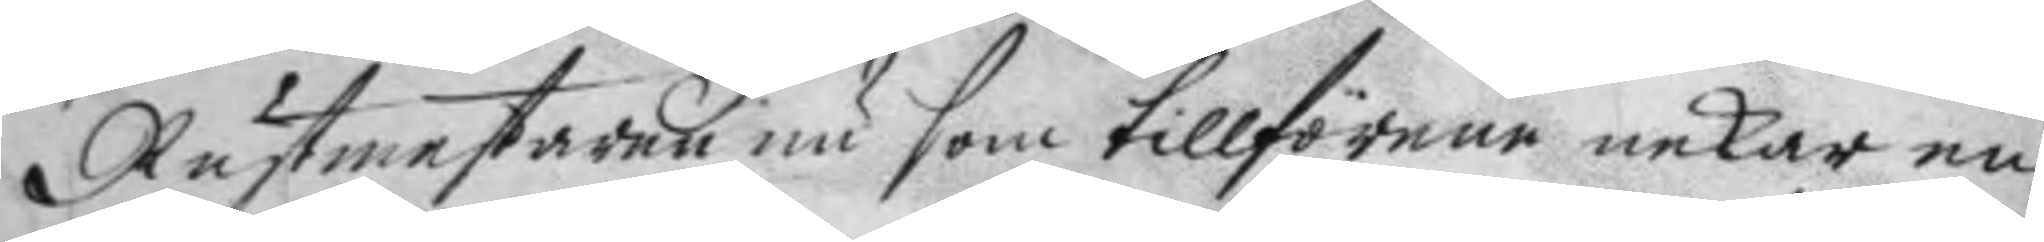Rustmestaren nu som tillförene nekar en¬
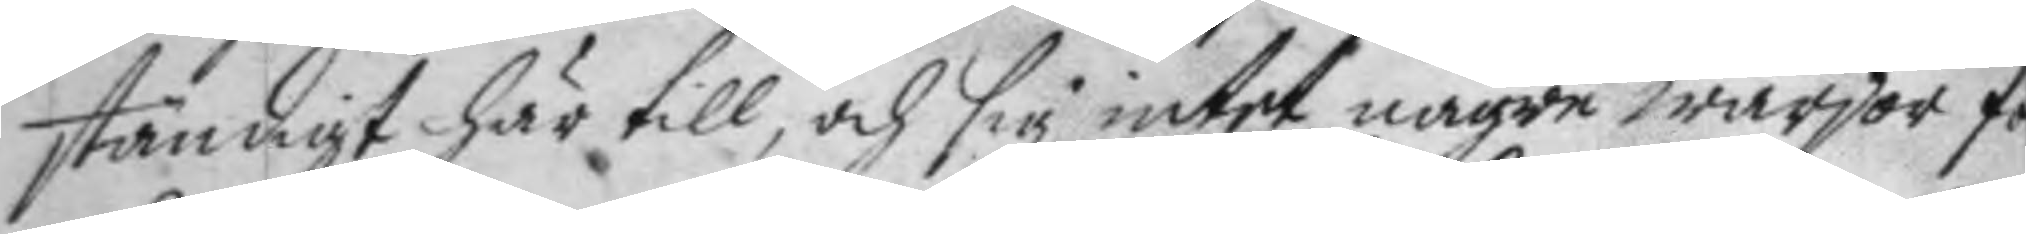ständigt här till, och sig intet någre wärjor fo
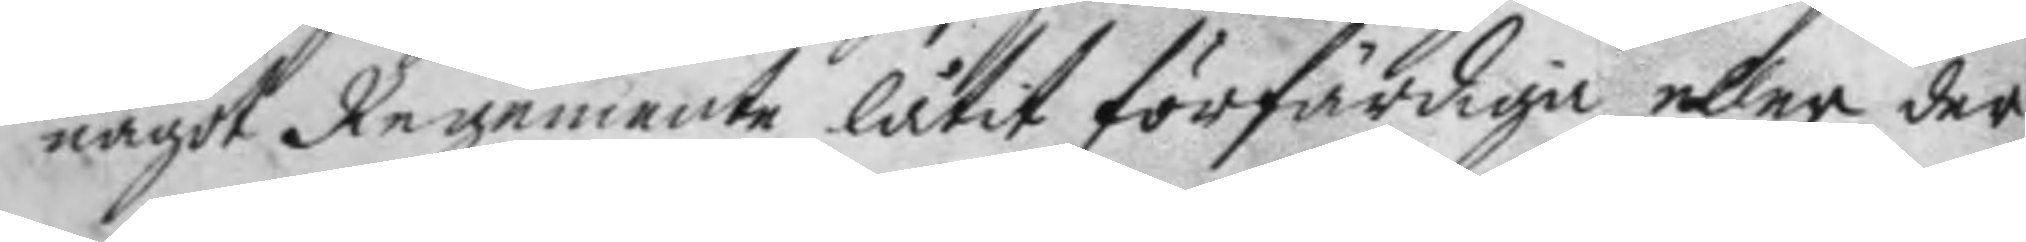något Regemente låtit förfärdiga eller der
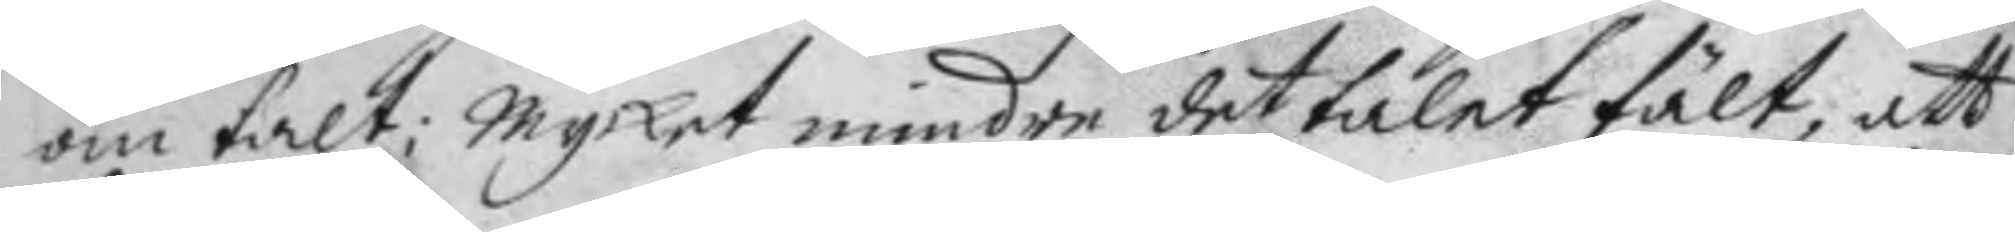om talt; Mycket mindre det talet fält, att
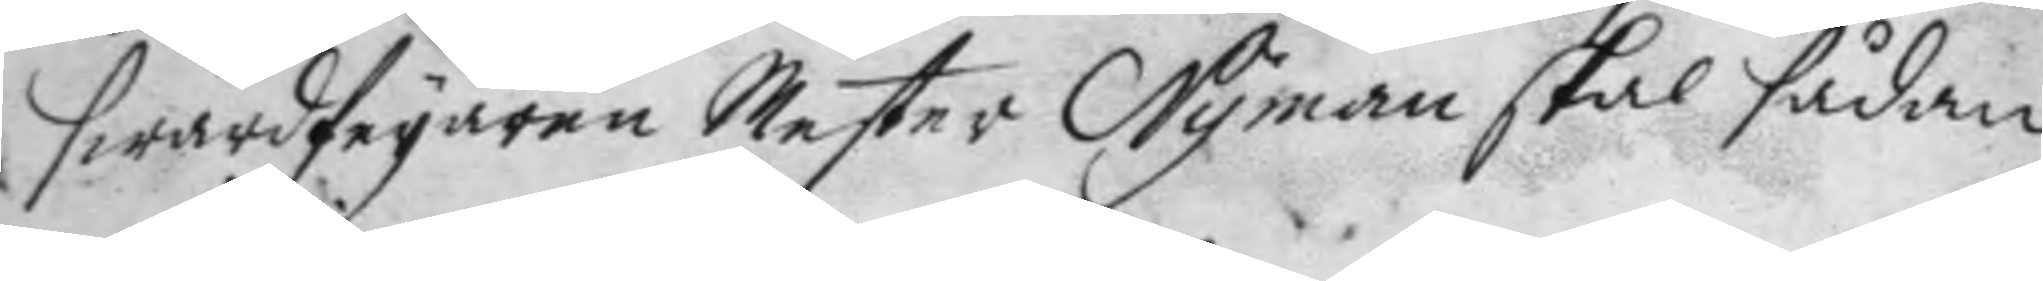swärdfeyaren Mester Nyman skal sådan
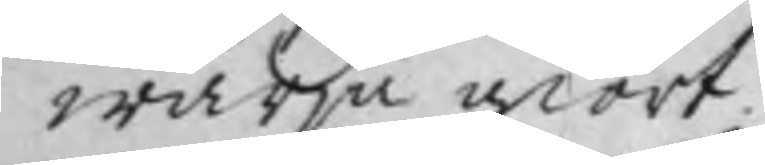wärja giort.
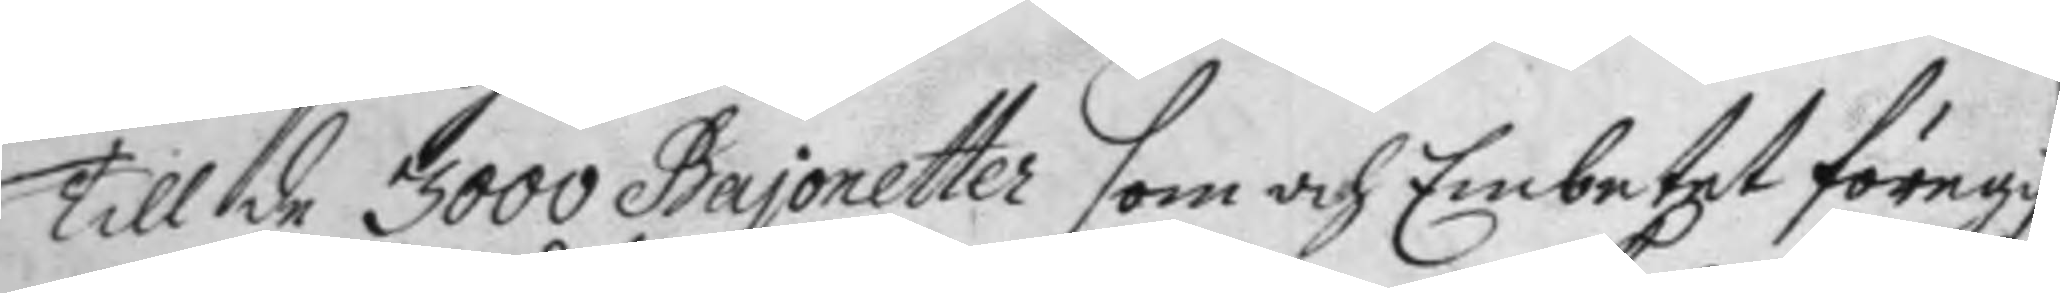Till de 3000 Bajonetter som och Embetet föregif¬
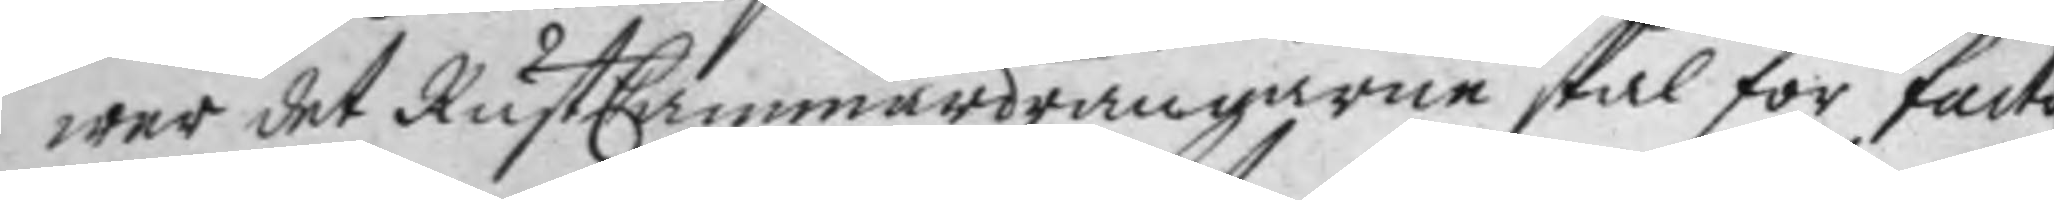wer det RustCammardrängarne skal för facto¬
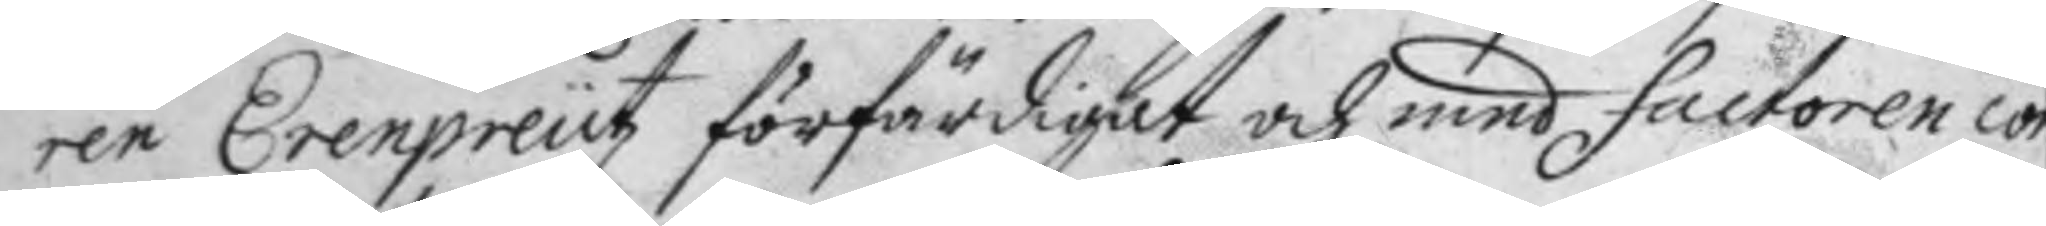ren Erenpreutz förfärdigat och med factoren con¬
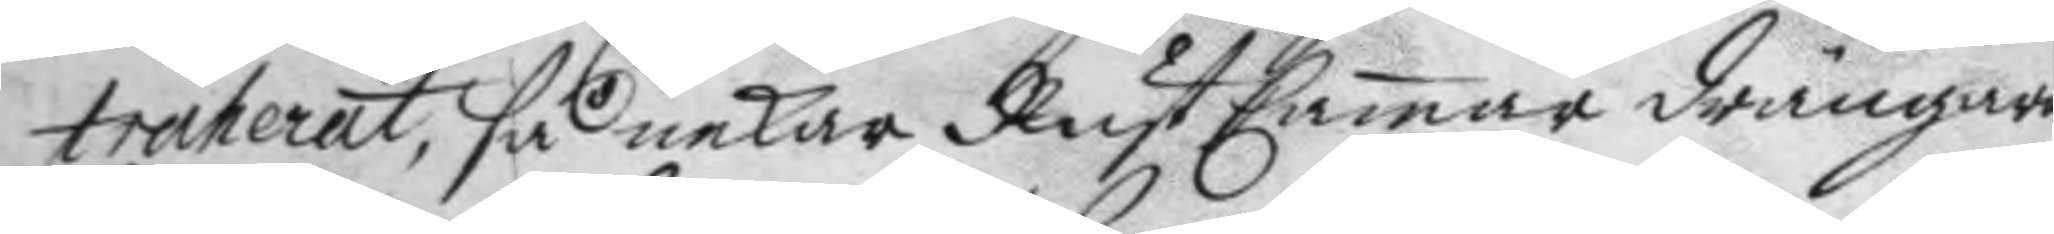tracterat, så nekar RustCamar drängarne
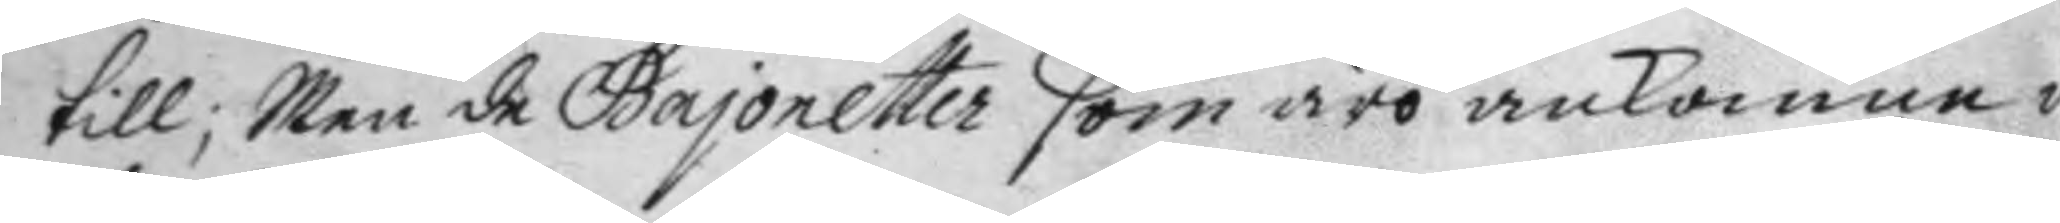till; Men de Bajonetter som ro ankomne i
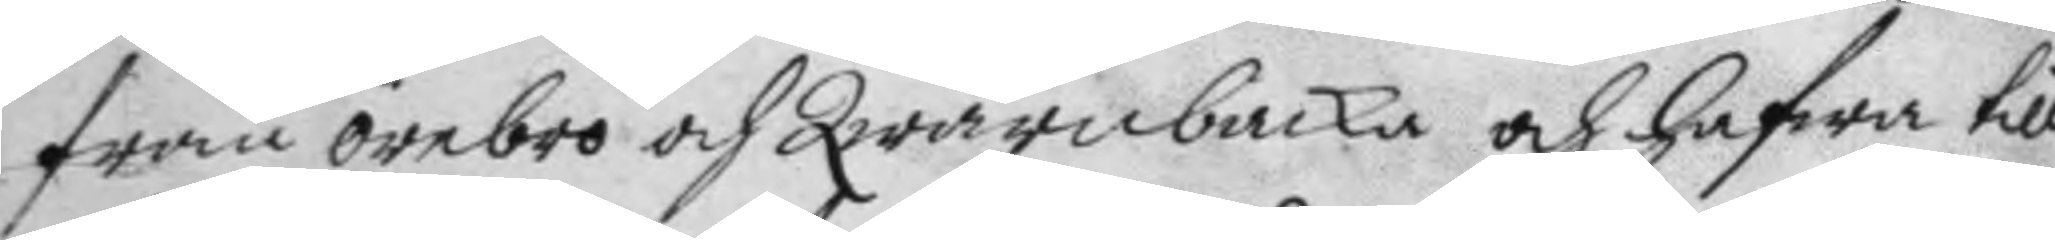från Örebro och Qwarnbacka och hafwer till
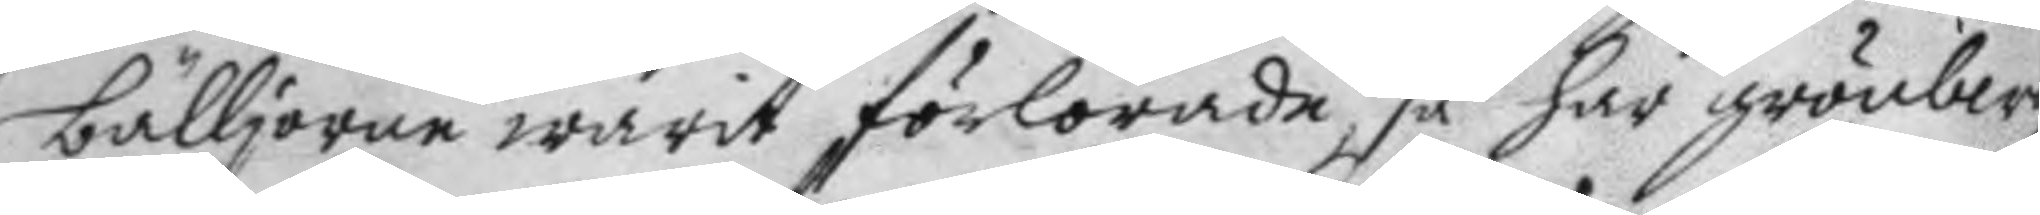bälljorne warit förlorade så har grönberg
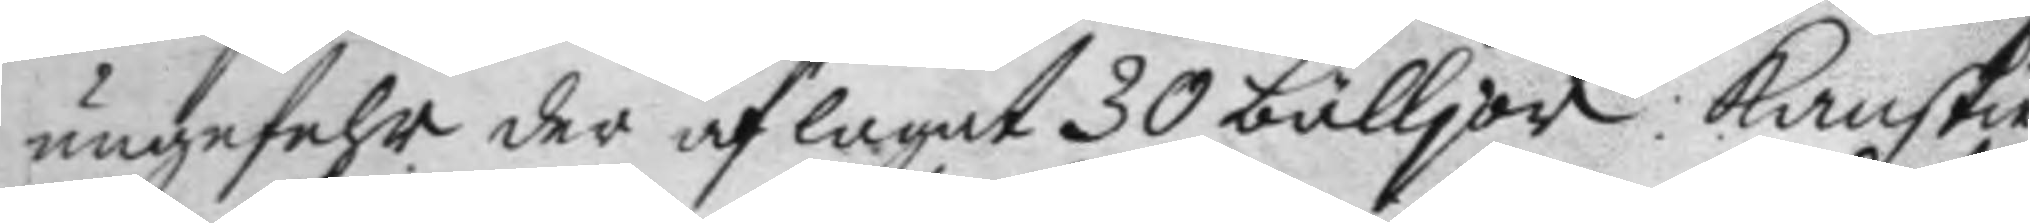ungefehr der af lagat 30 bälljor: kanskie
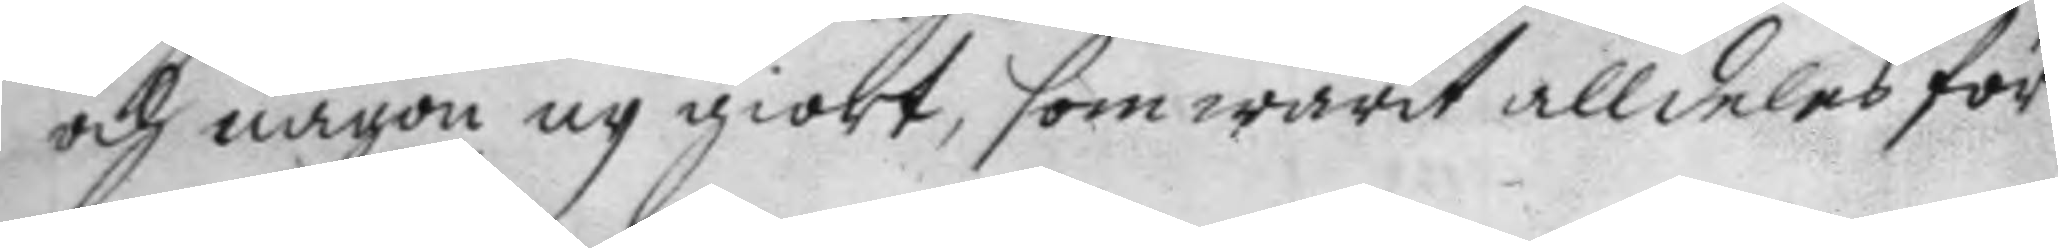och någon ny giort, som warit alldeles för¬
